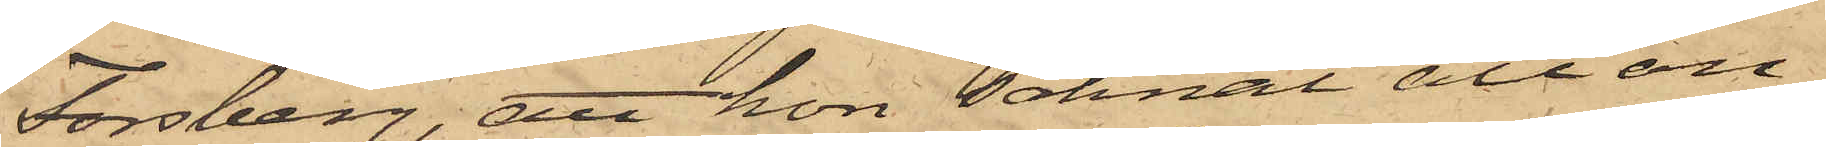Forsberg, att hon saknat all an¬
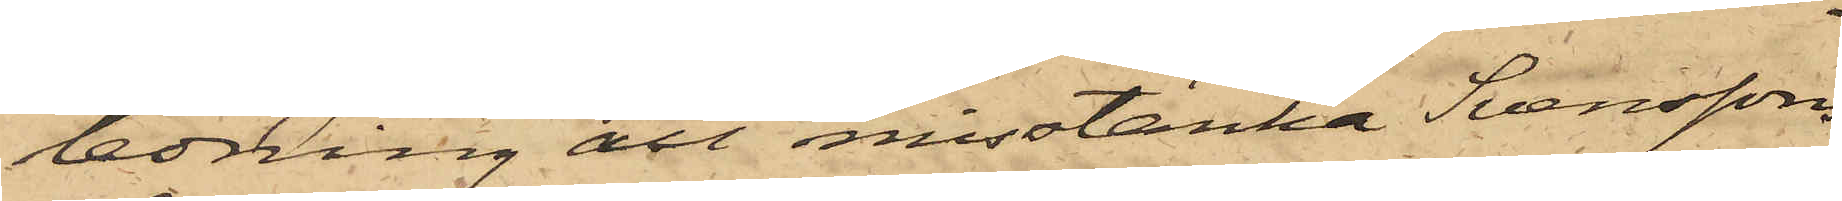ledning att misstänka Svenssons
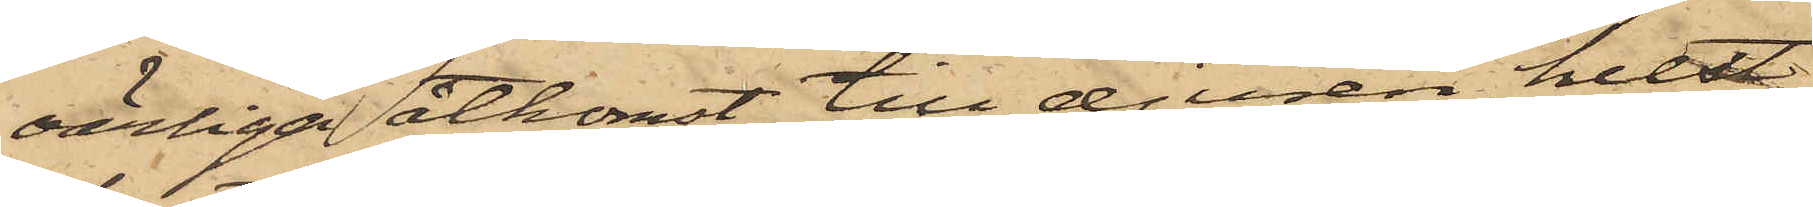oärliga åtkomst till djuren, helst
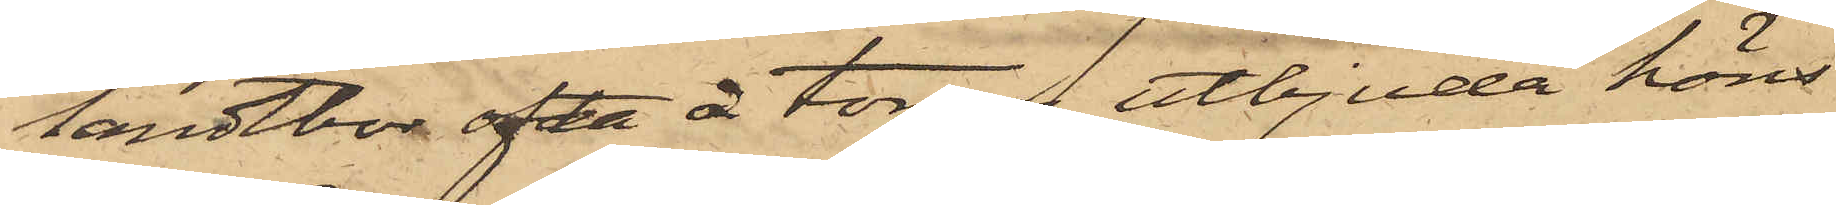landtbor ofta å torgen utbjuda höns
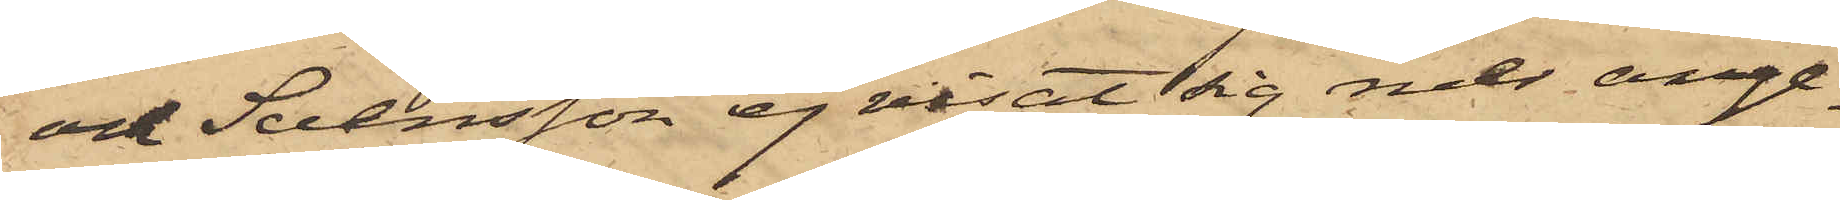och Svensson ej visat sig mer ange¬
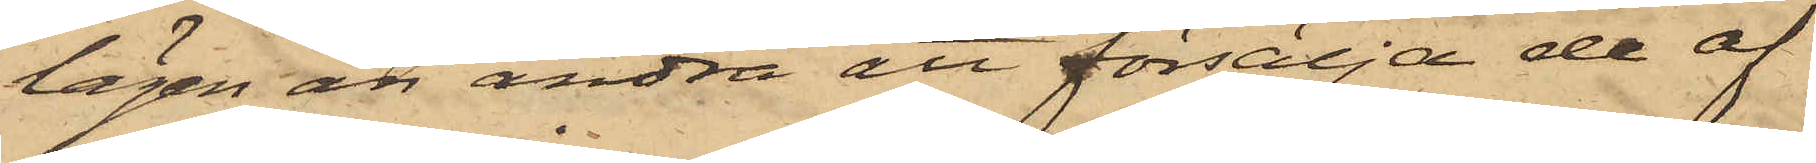lägen än andra att försälja de af
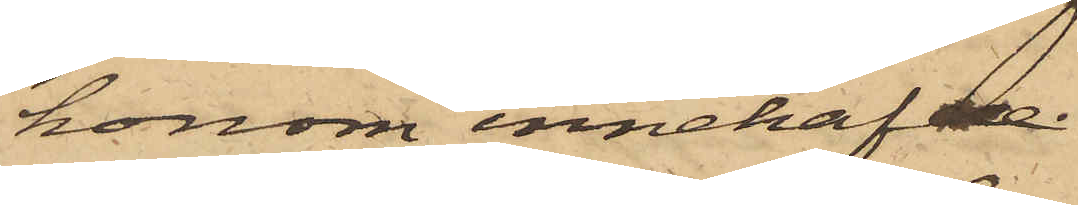honom innehafde.
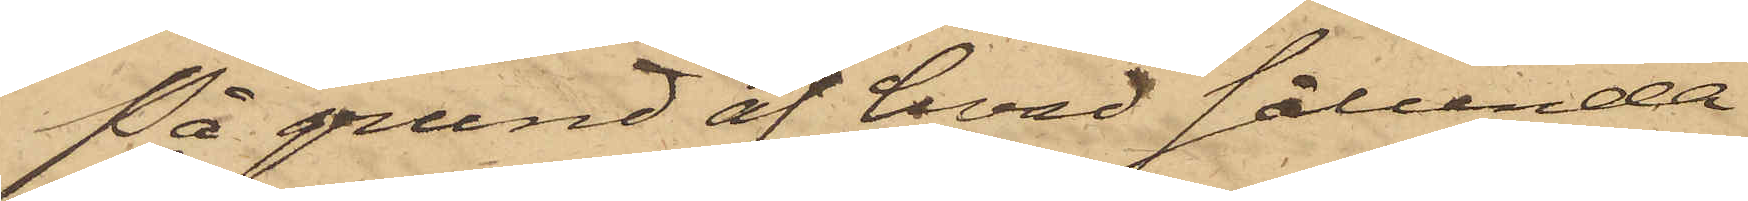På grund af hvad sålunda
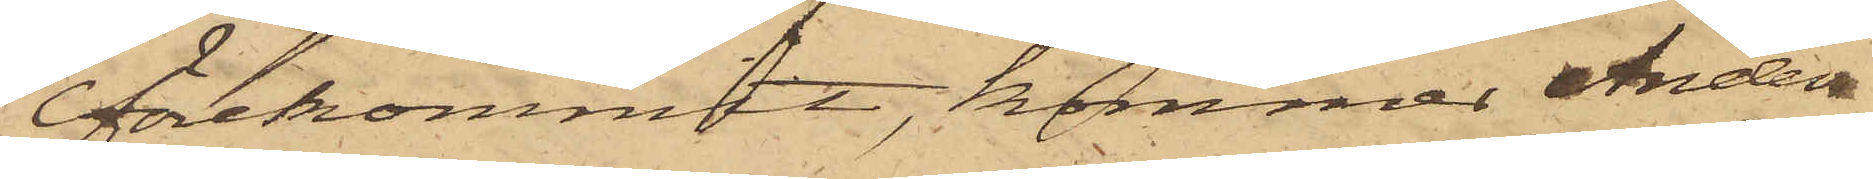förekommit, kommer Anders
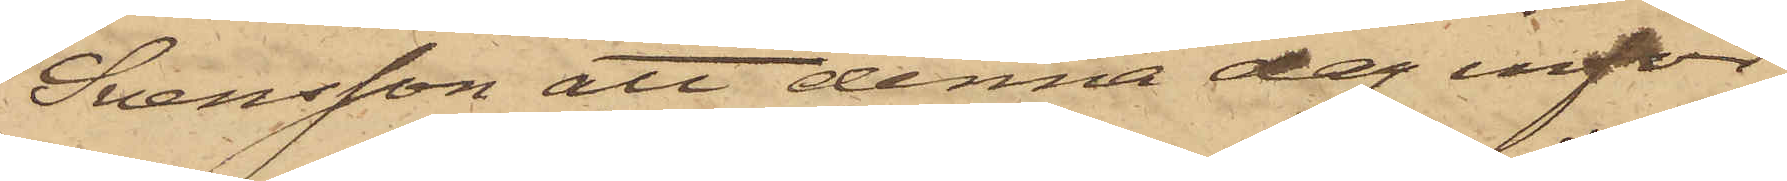Svensson att denna dag inför
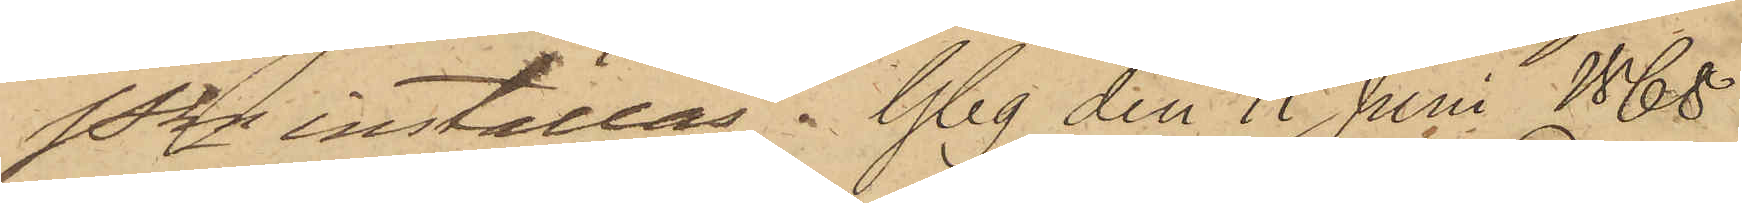Pkn inställas. Gbg den 11 Juni 1868.
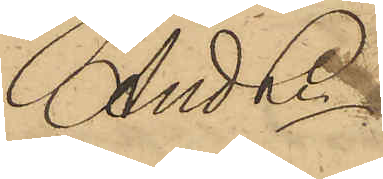And Ln
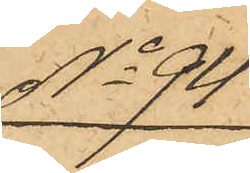No 94
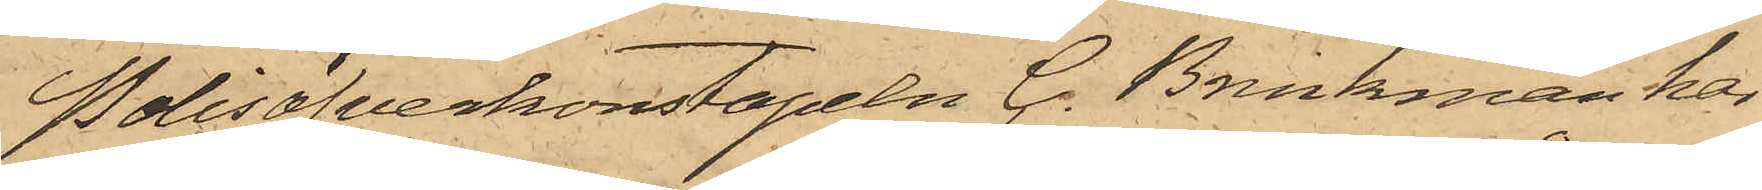Polisöfverkonstapeln C. Brinkman har
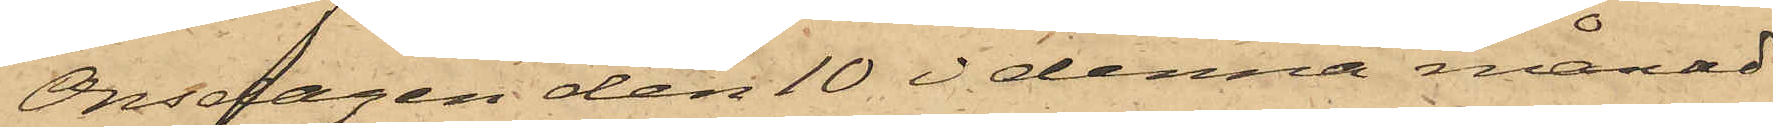Onsdagen den 10 i denna månad
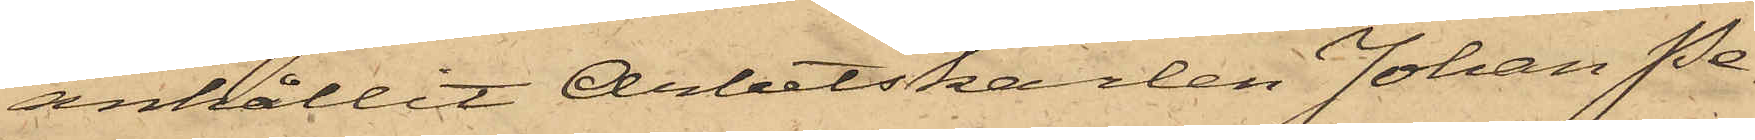anhållit Arbetskarlen Johan Pe¬
